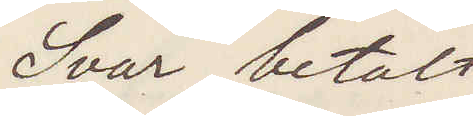Svar betalt
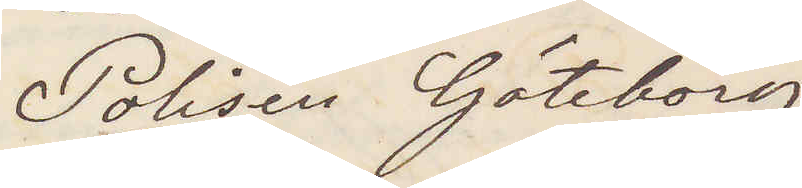Polisen Göteborg
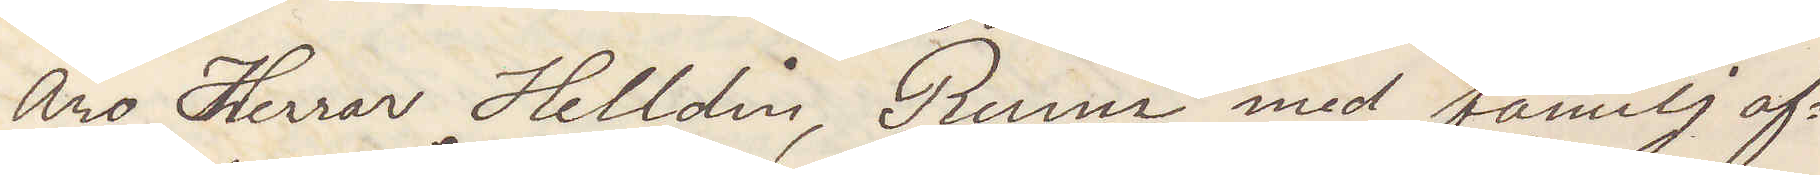Äro Herrar Helldin, Runn med familj af¬
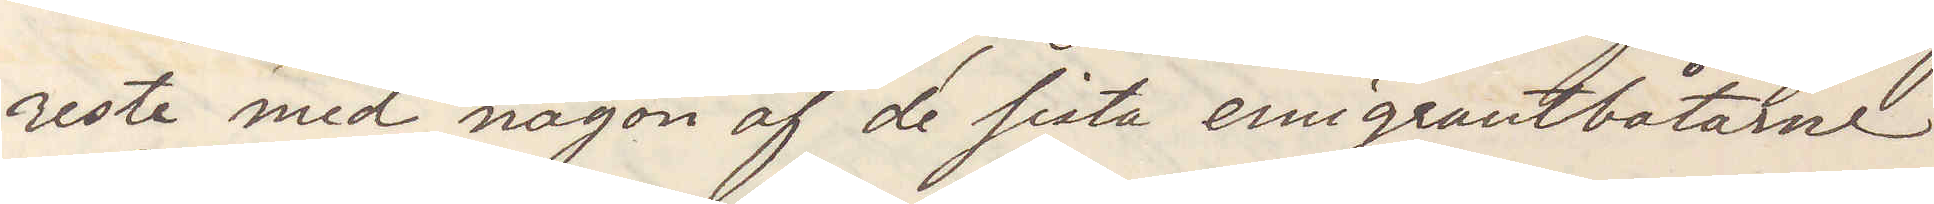reste med någon af de sista emigrantbåtarne
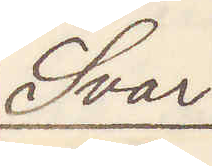Svar
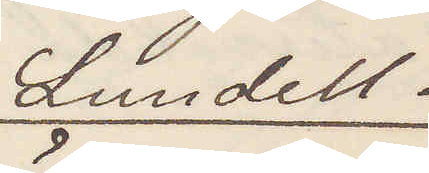Lundell.
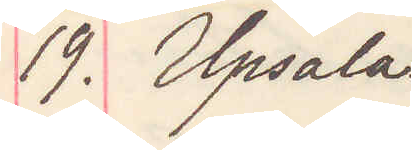19. Upsala.
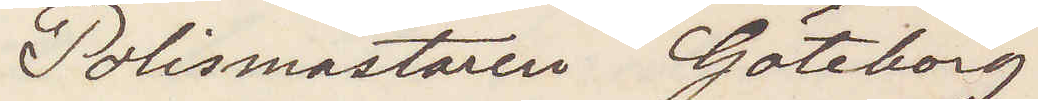Polismästaren Göteborg
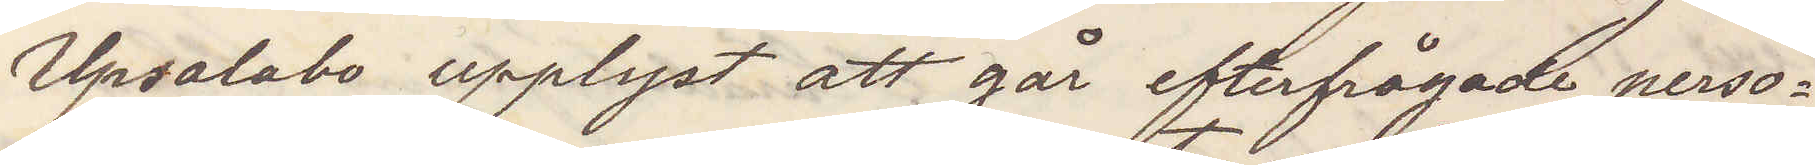Upsalabo upplyst att går efterfrågade perso¬
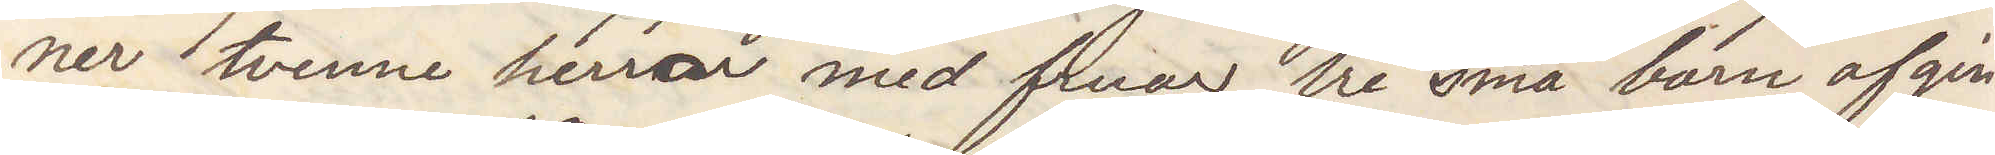ner tvenne herrar med fruar tre små barn afgin¬
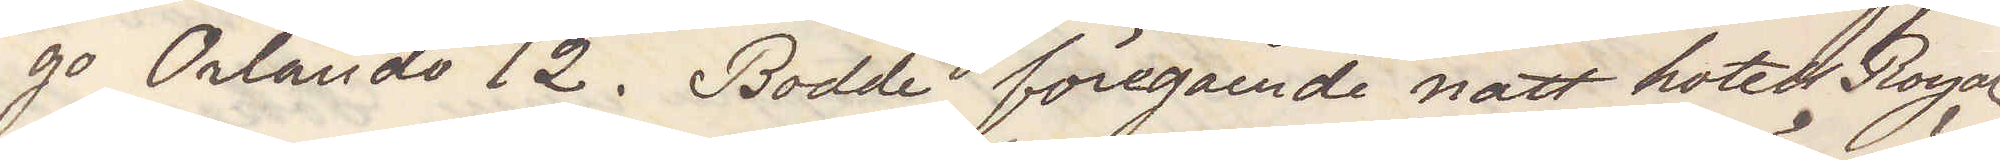go Orlando 12. Bodde föregående natt hotell Royal
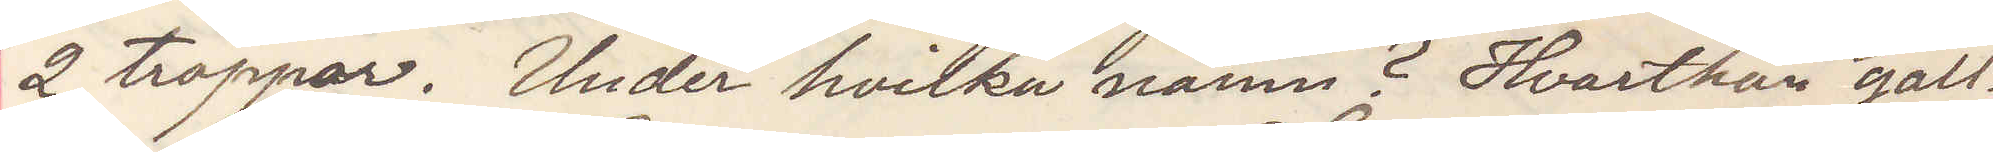2 trappor. Under hvilka namn? Hvarthän gäll¬
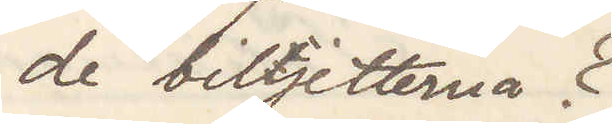de biljetterna?
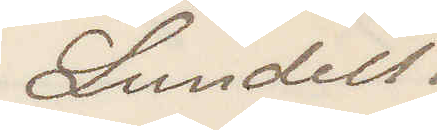Lundell.
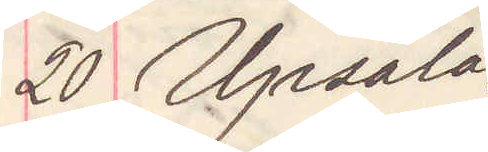20 Upsala.
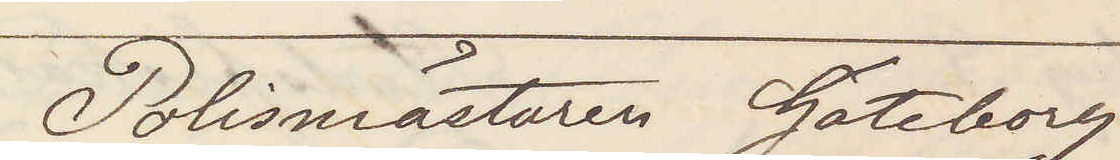Polismästaren Göteborg
